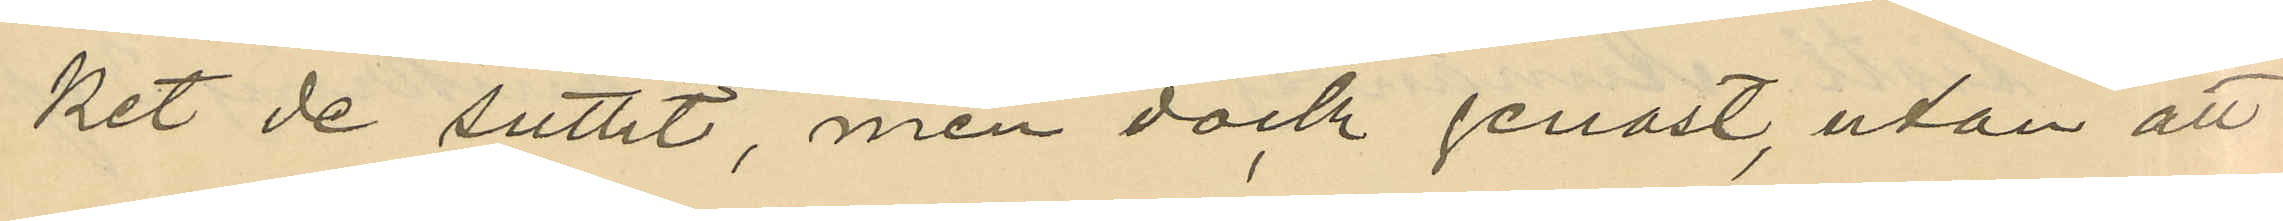ket de suttit, men dock genast, utan att
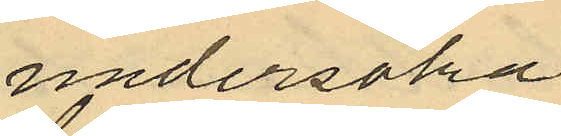undersöka
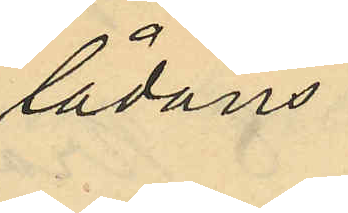lådans
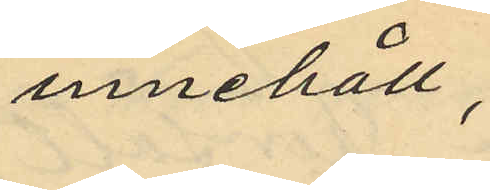innehåll,
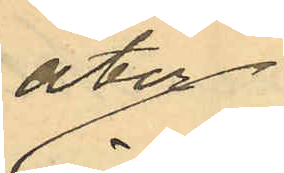åter
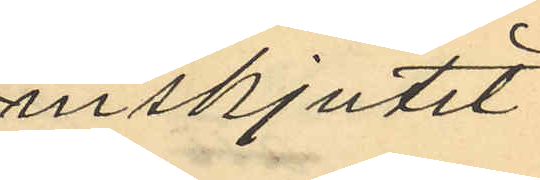inskjutet
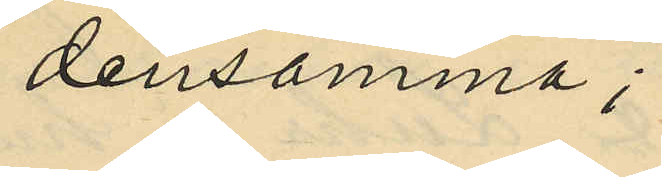densamma;
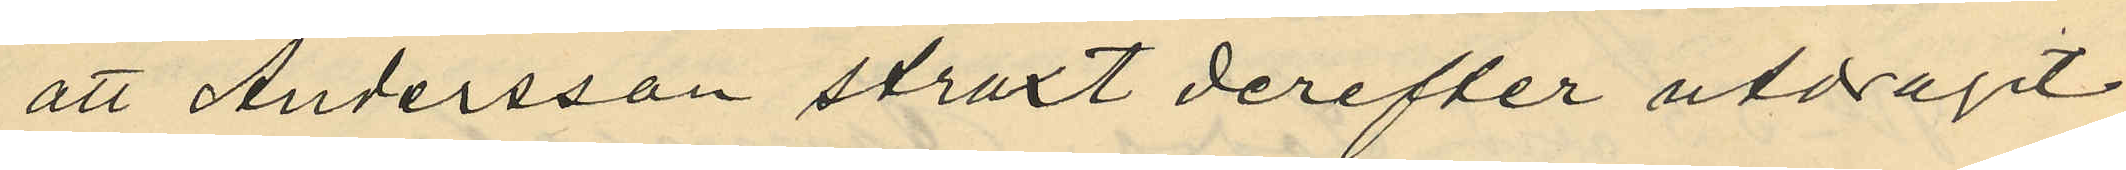att Andersson straxt derefter utdragit
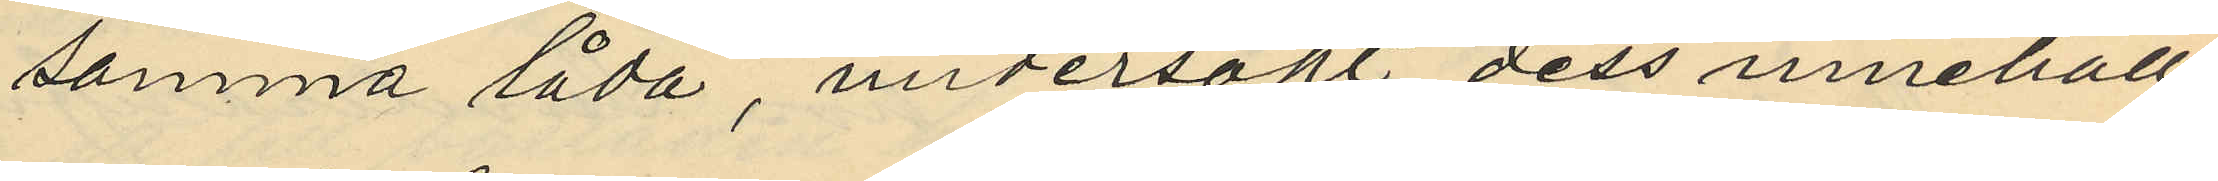samma låda, undersökt dess innehåll
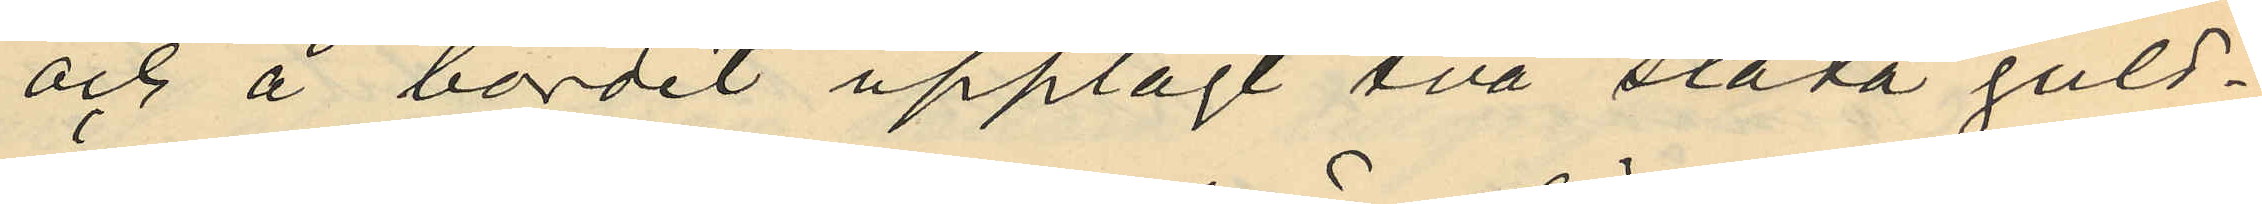och å bordet upplagt två släta guld¬
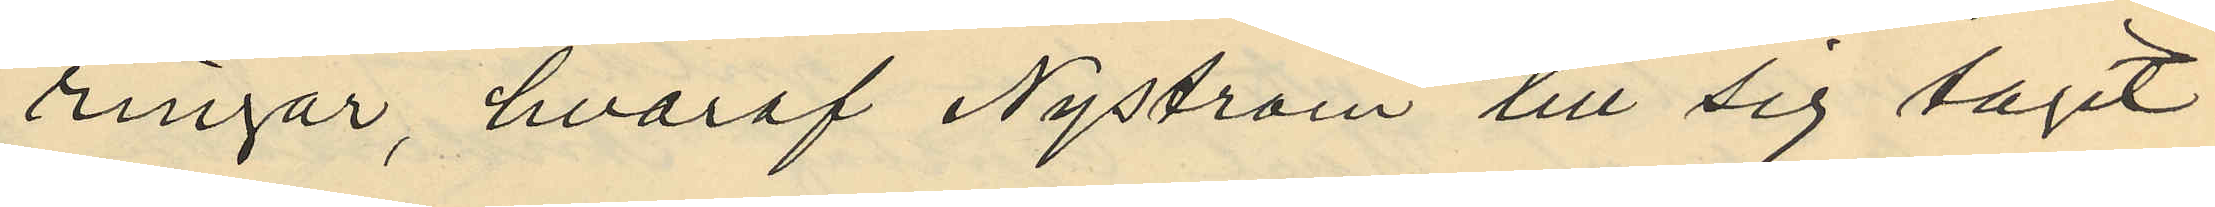ringar, hvaraf Nyström till sig tagit
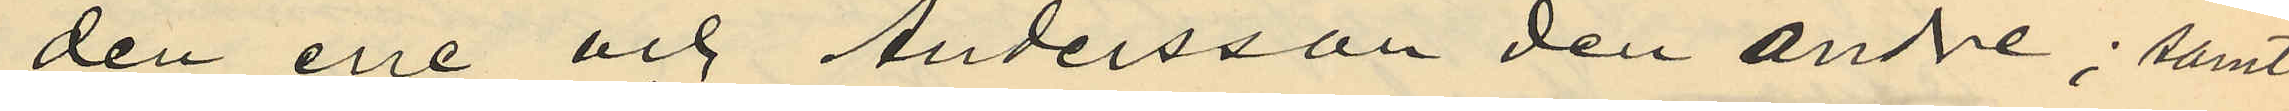den ene och Andersson den andre; samt
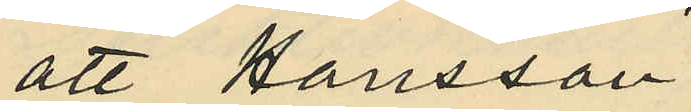att Hansson
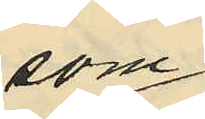som
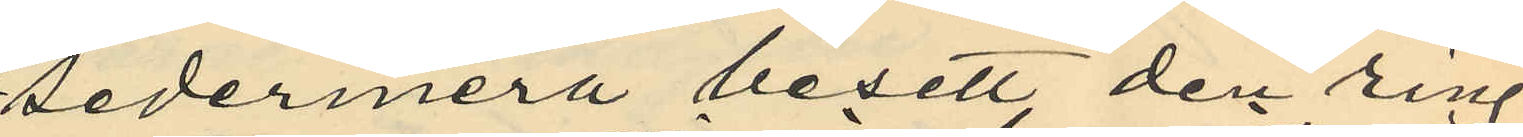sedermera besett den ring
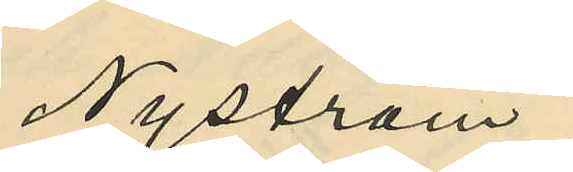Nyström
